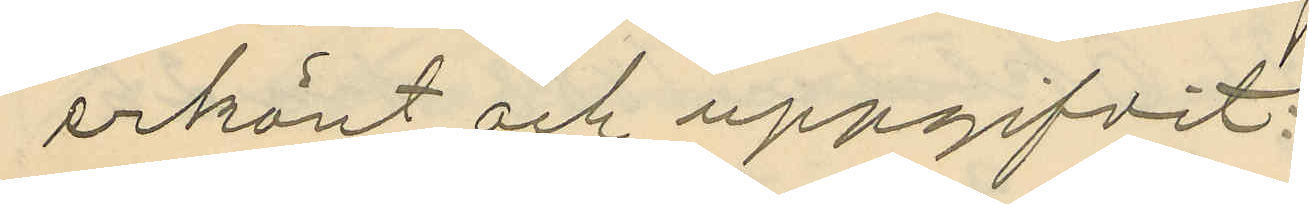erkänt och uppgifvit:
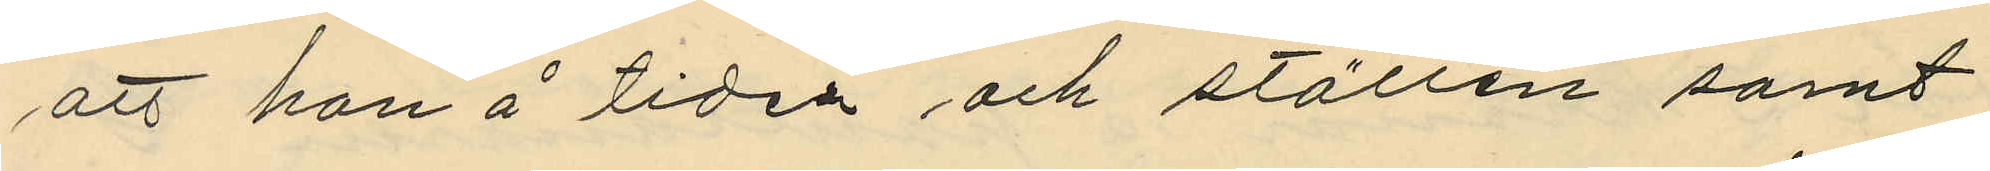att han å tiden och ställen samt
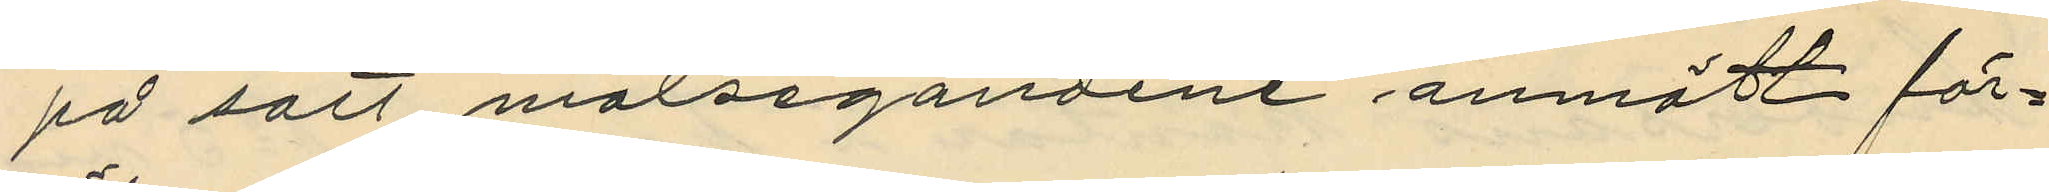på sätt målsegandene anmält för¬
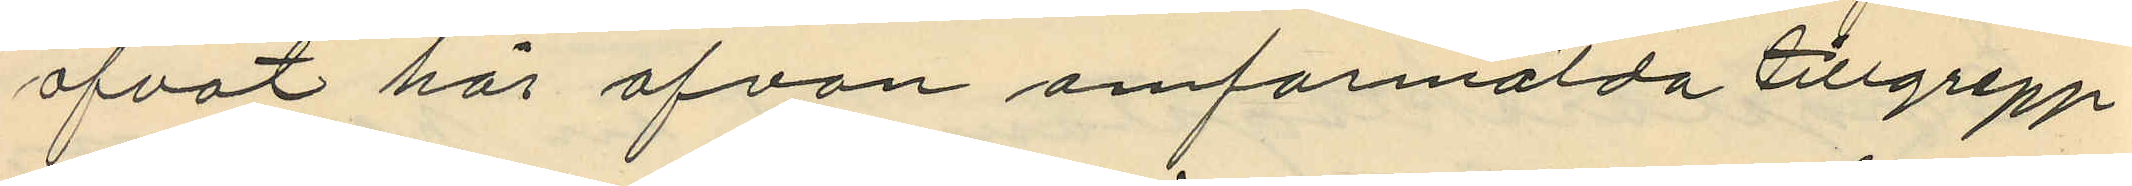öfvat här ofvan omförmälda tillgrepp
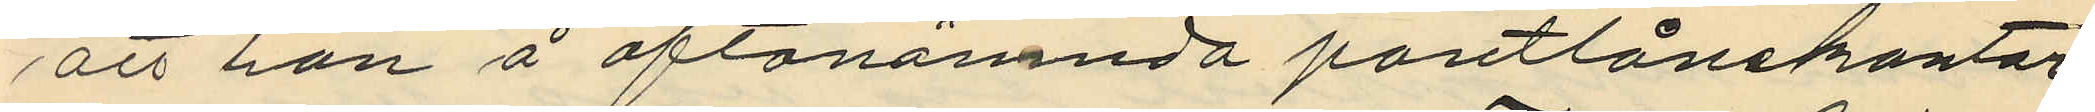att han å oftanämnda pantlånekontor
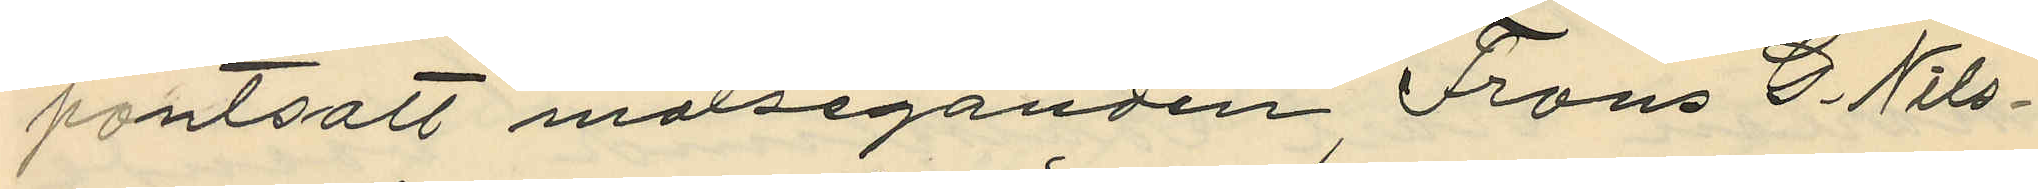pantsatt målseganden Frans C. Nils¬
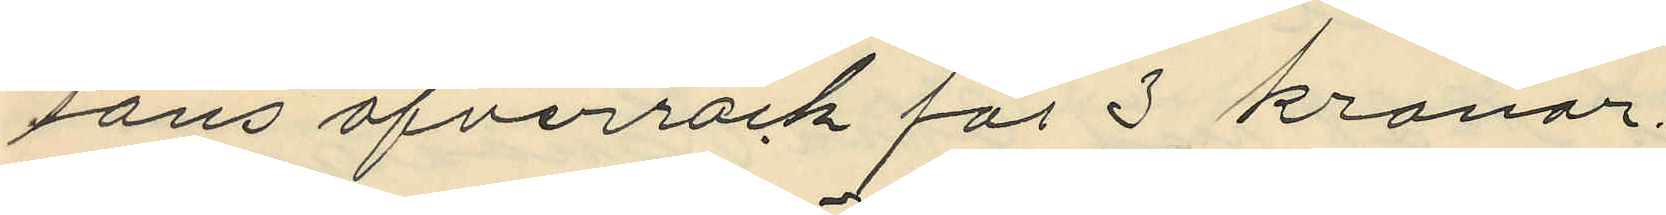sons öfverrock för 3 kronor.
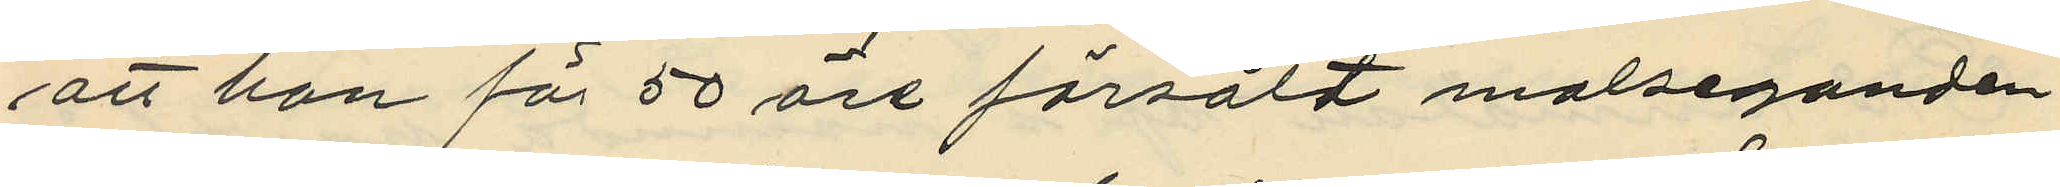att han för 50 öre försålt målseganden
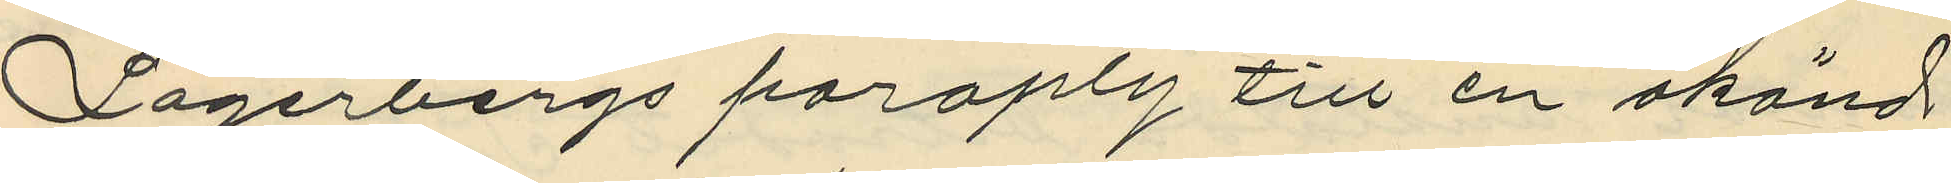Lagerbergs paraply till en okänd
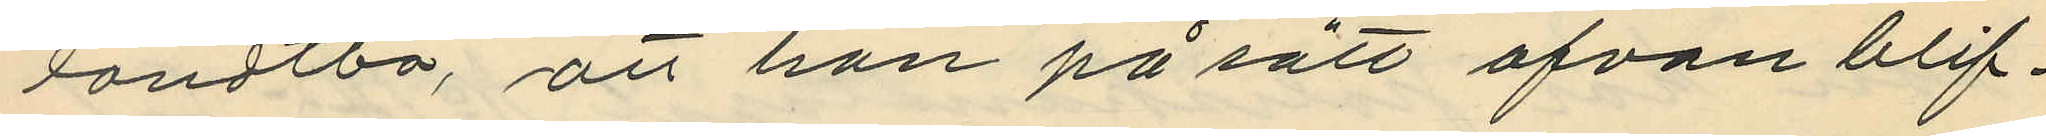landtbo, att han på sätt ofvan blif¬
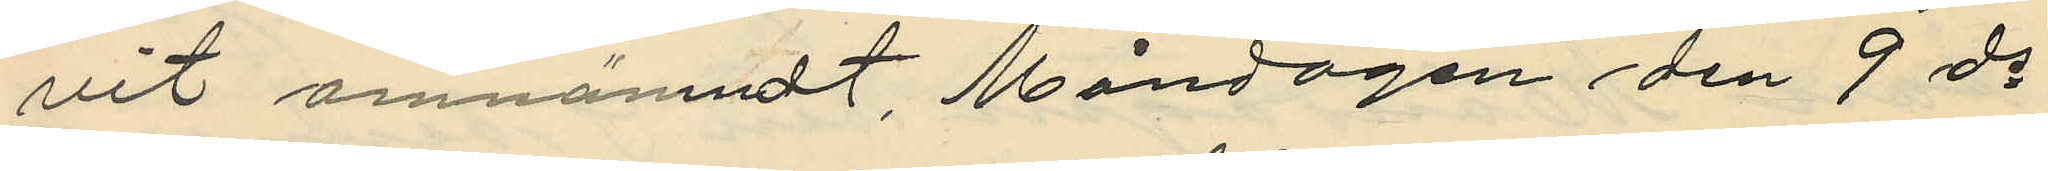vit omnämndt, Måndagen den 9 ds
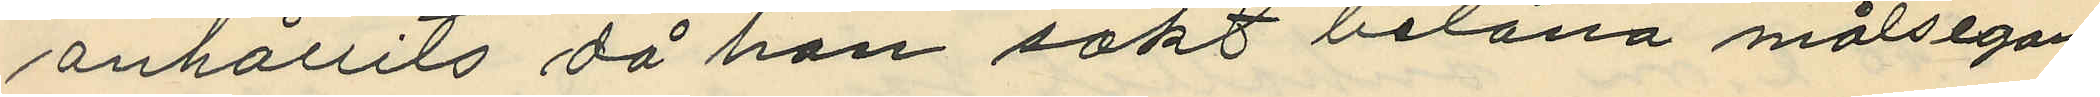anhållits då han sökt belåna målsegan¬
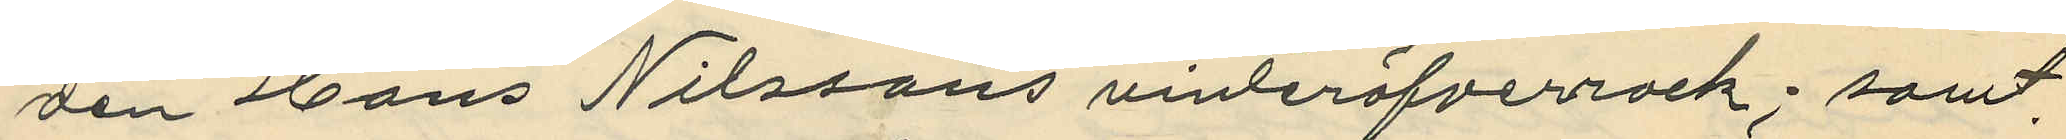den Hans Nilssons vinteröfverrock; samt
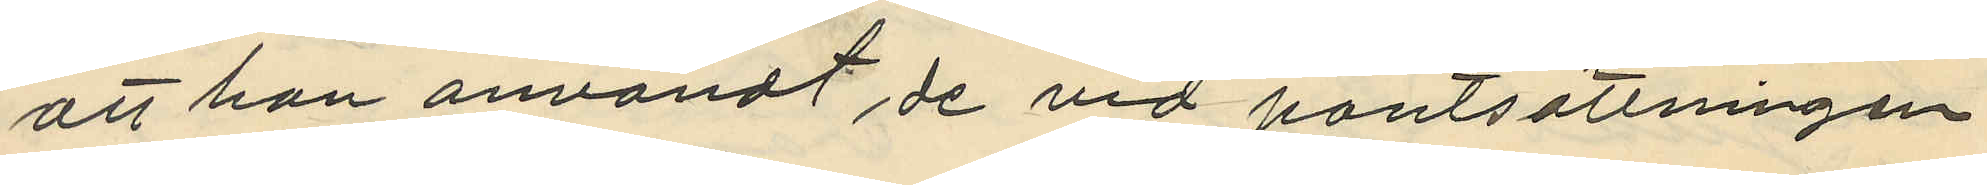att han användt de vid pantsättningen
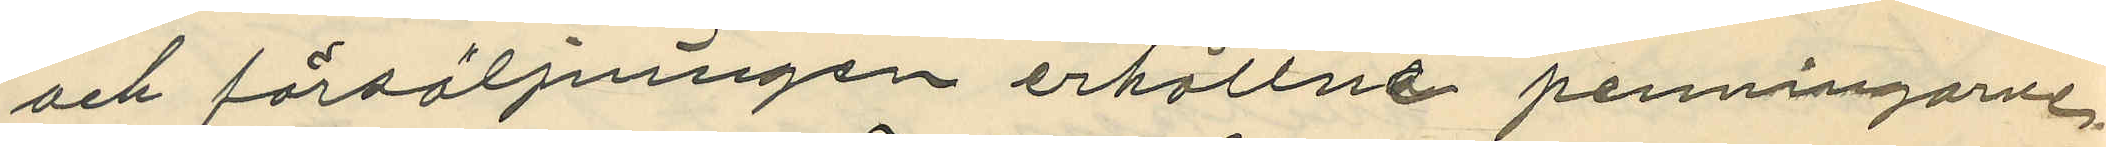och försäljningen erhållne penningarne,
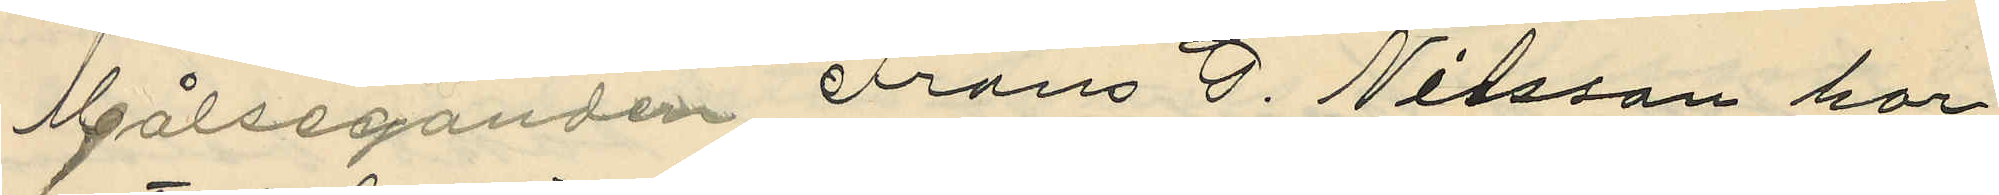Målseganden Frans G. Nilsson har
